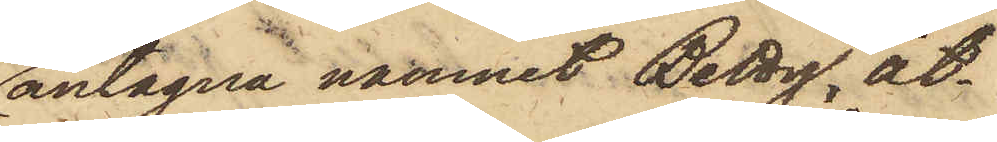antagna namnet Betty, åt¬
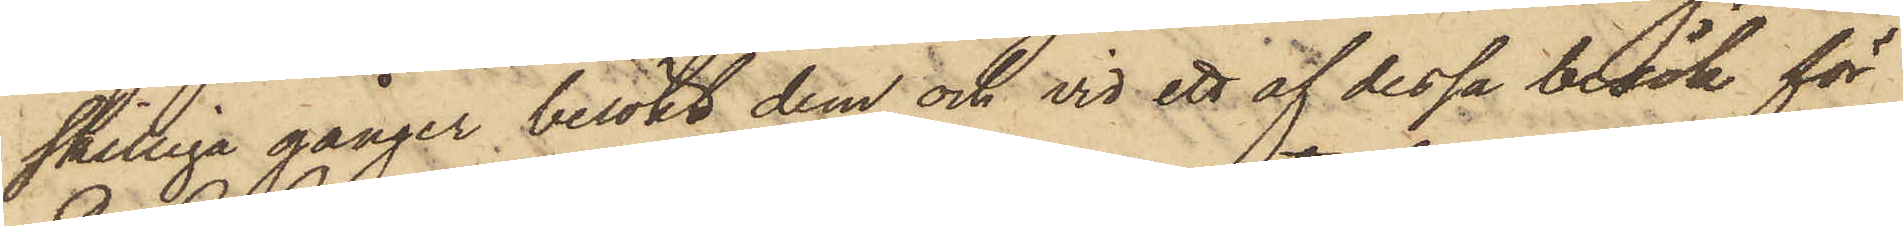skilliga gånger besökt dem och vid ett af dessa besök för
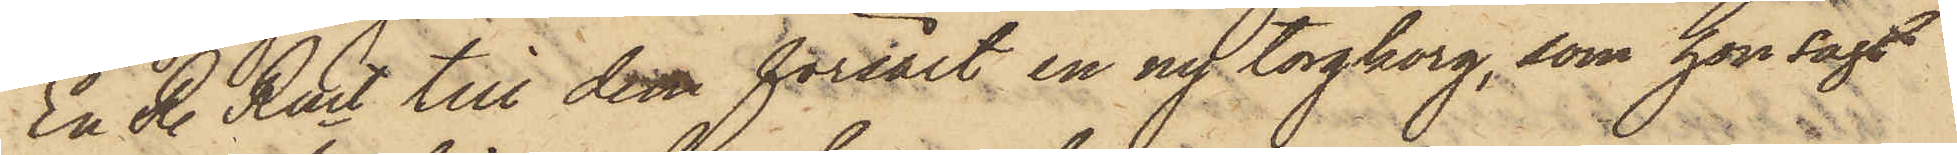En R. Rmt till dem försålt en ny torgkorg, som hon sagt
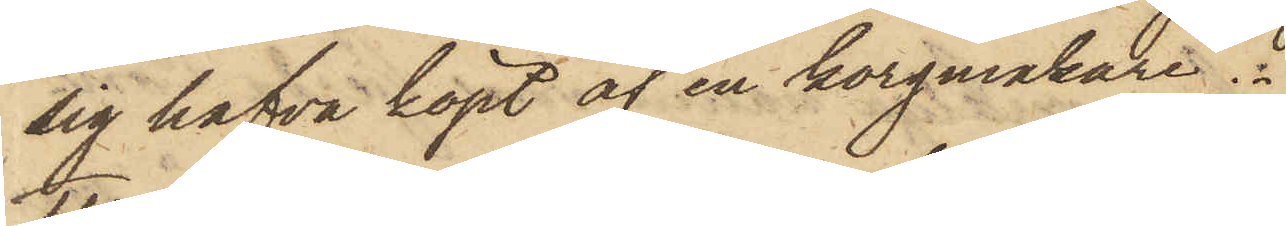sig hafva köpt af en korgmakare.
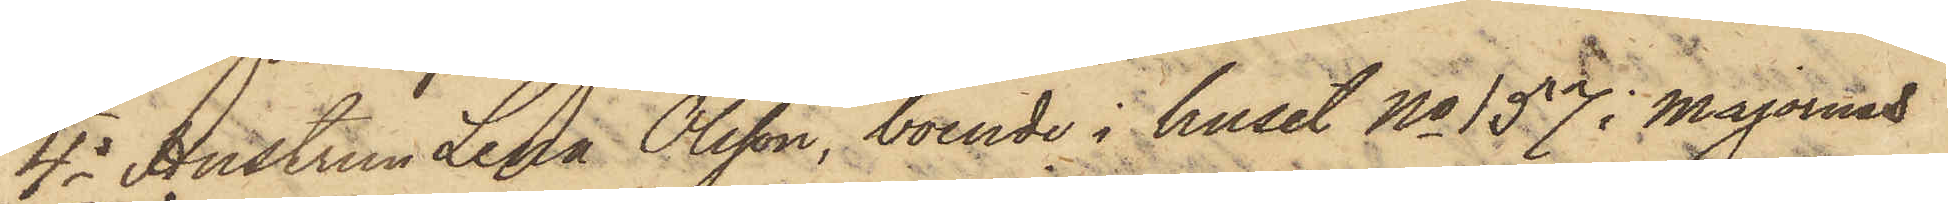4o Hustrun Lina Olsson, boende i huset No 157 i Majornas
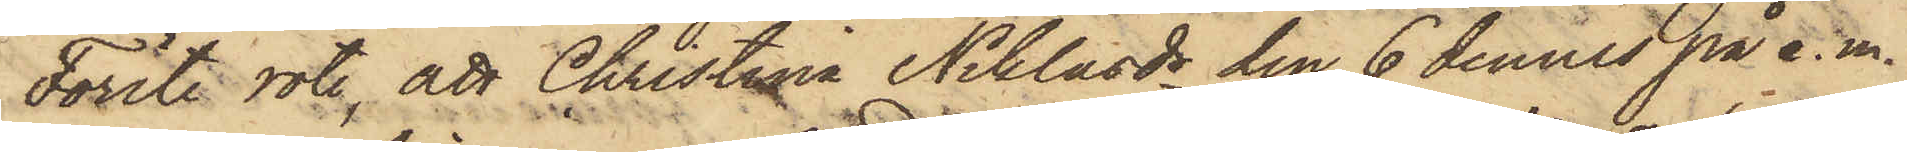Förste rote, att Christina Niklasdr den 6 dennes på e.m.
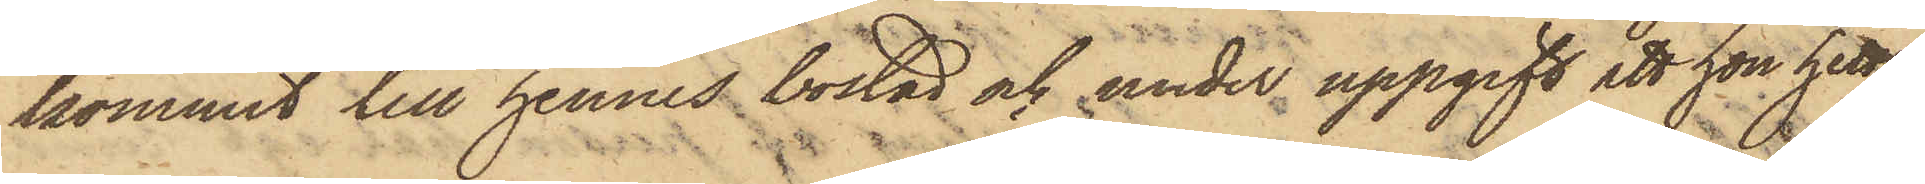kommit till hennes bostad och under uppgift att hon hette
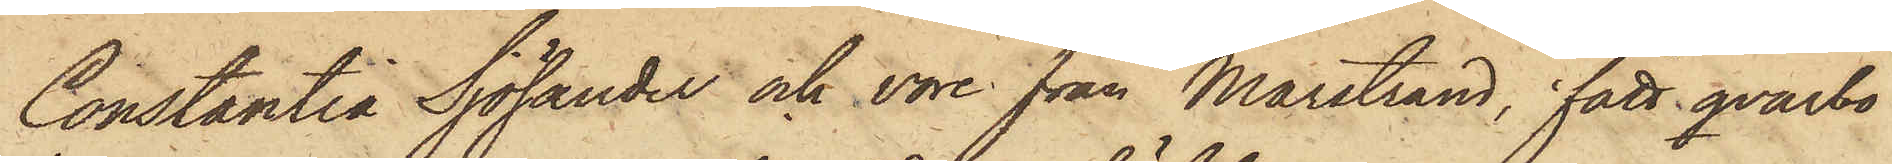Constantia Sjölander och vore från Marstrand, fått qvarbo
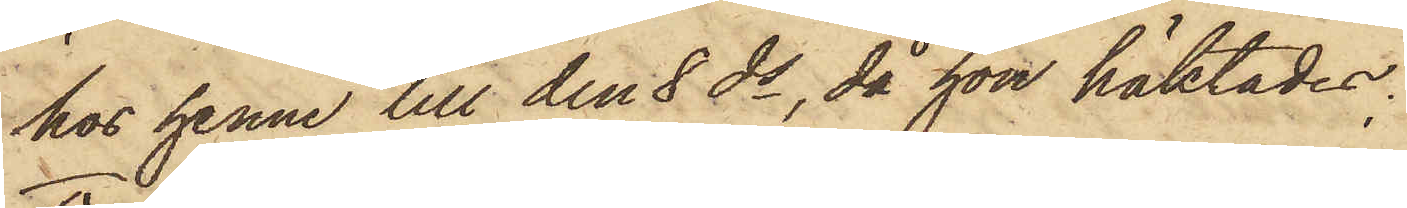hos henne till den 8 ds, då hon häktades,
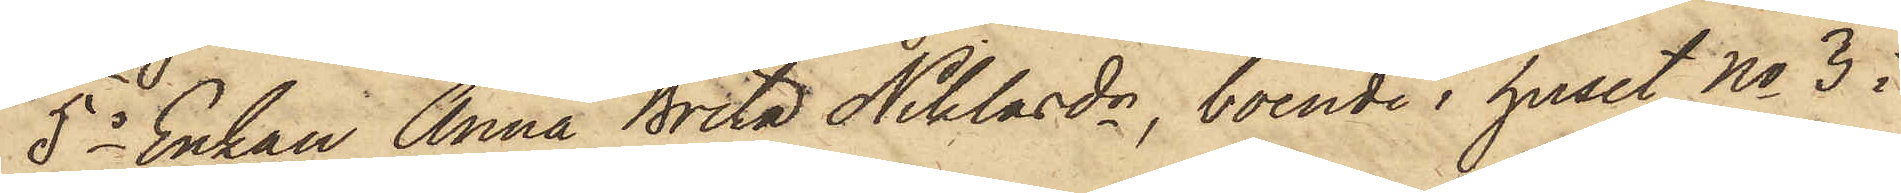5o Enkan Anna Brita Niklasdr, boende i huset No 3 i
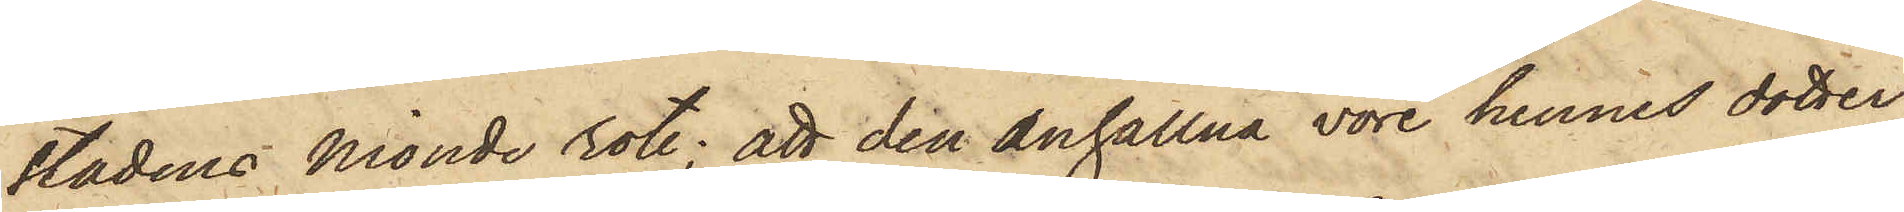Stadens nionde rote; att den anhållna vore hennes dotter
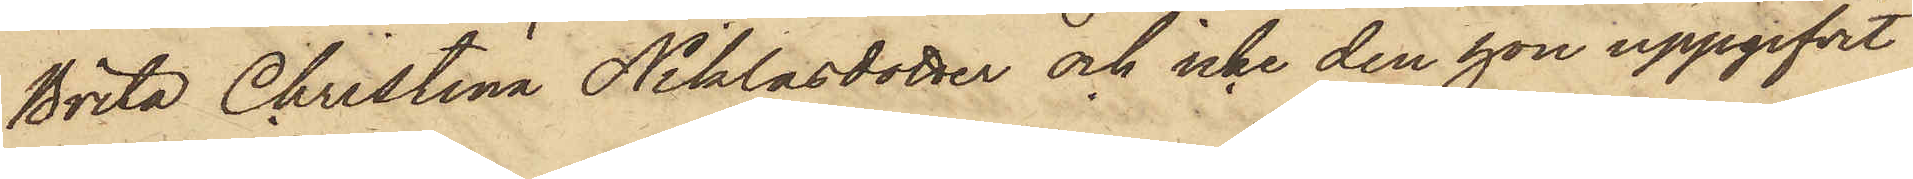Brita Christina Niklasdotter och icke den hon uppgifvit
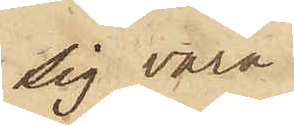sig vara.
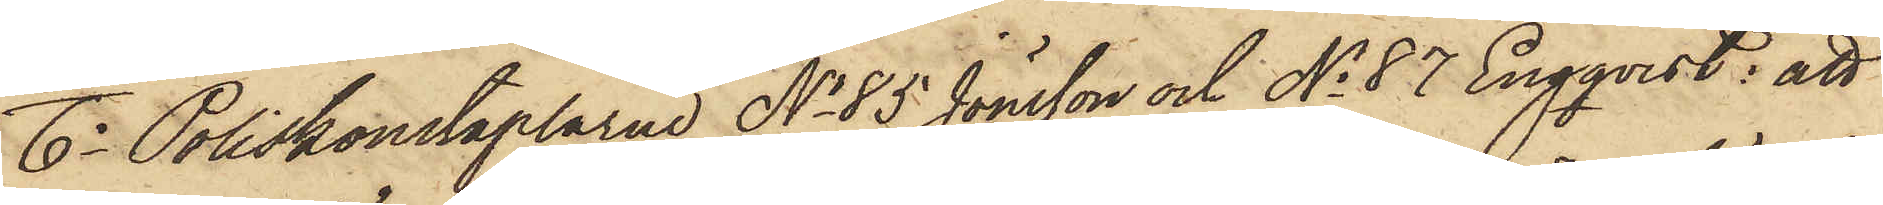6o Poliskonstaplarne No 85 Jönsson och No 87 Engqvist: att
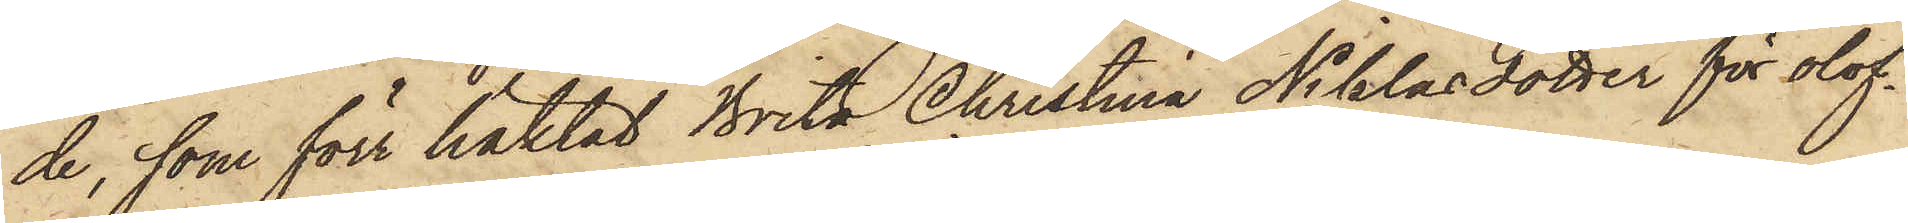de, som förr häktat Brita Christina Niklasdotter för olof¬
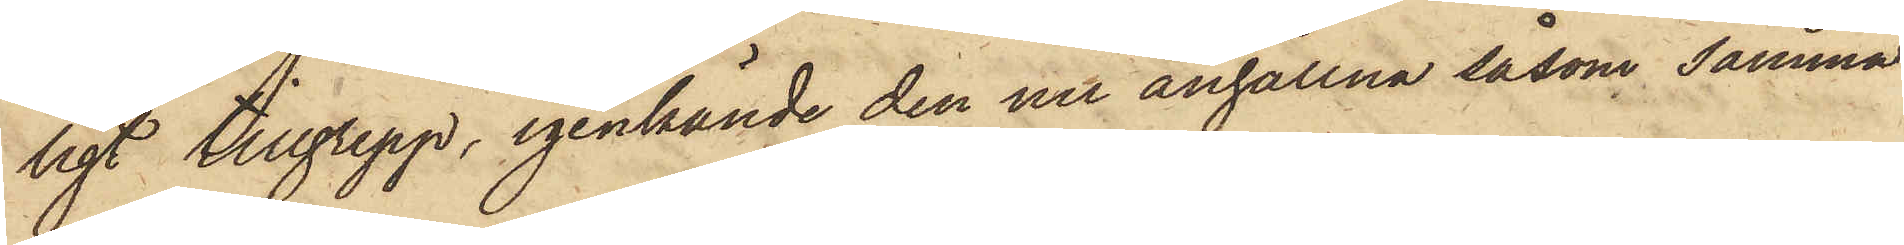ligt tillgrepp, igenkände den nu anhållna såsom samma
